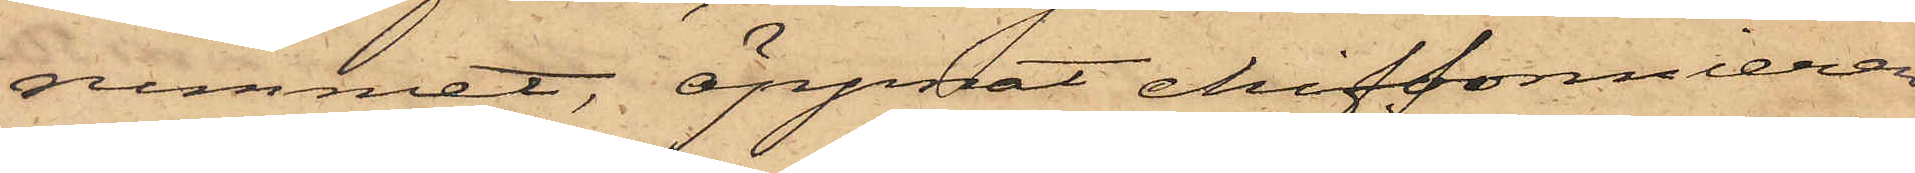rummet, öppnat chiffonnieren
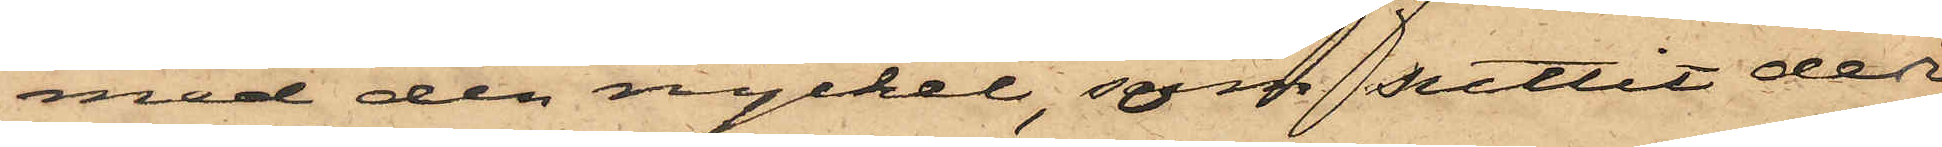med den nyckel, som suttit der
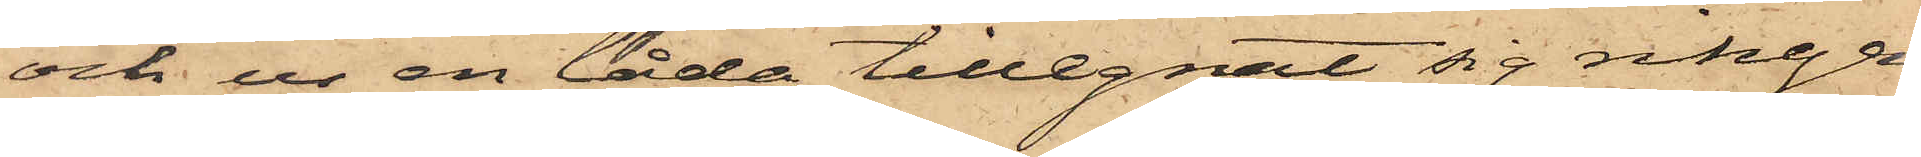och ur en låda tillegnat sig ringen,
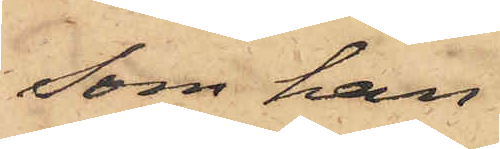som han
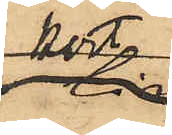kort
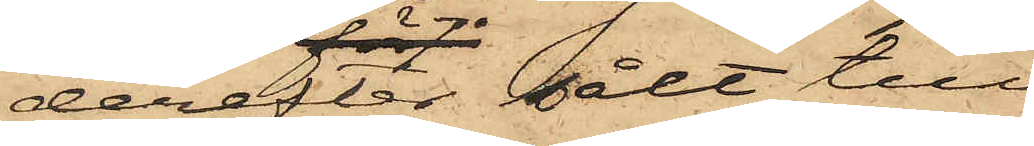derför sålt till
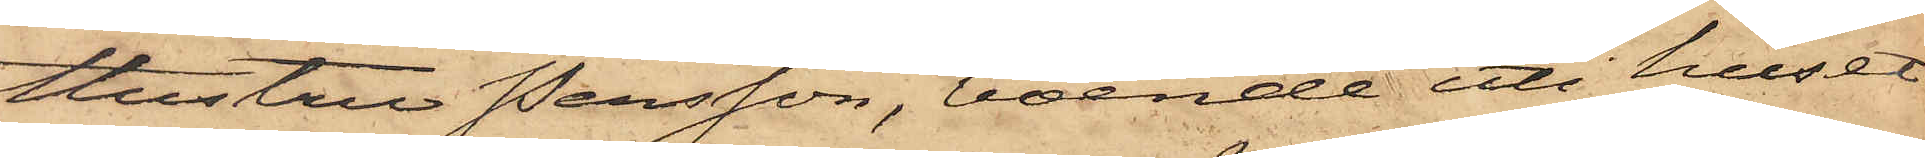hustru Persson, boende uti huset
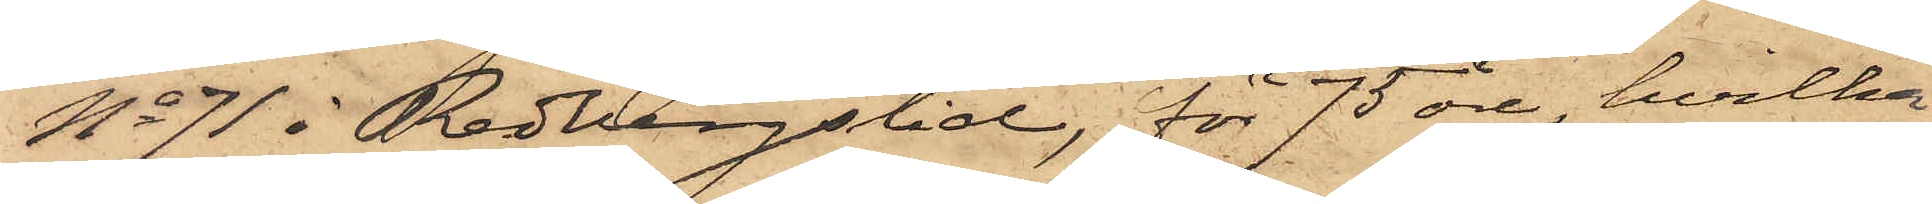No 71 i Redbergslid, för 75 öre, hvilka
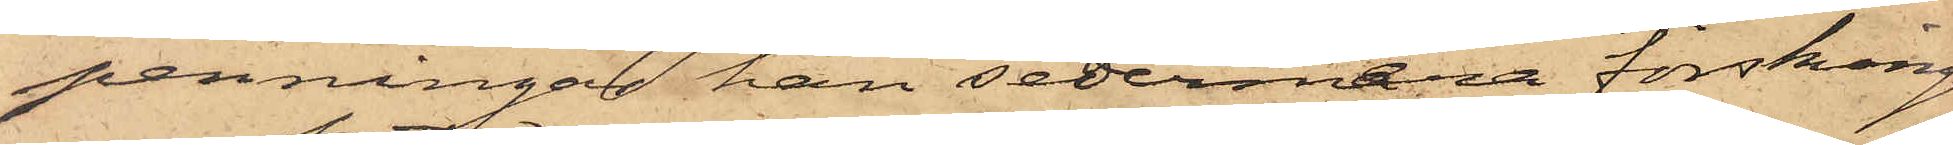penningar han sedermera försking¬
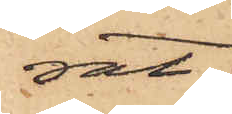rat;
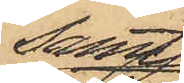samt
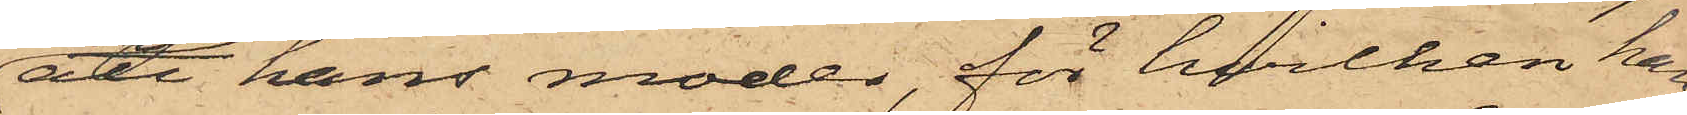att hans moder, för hvilken han
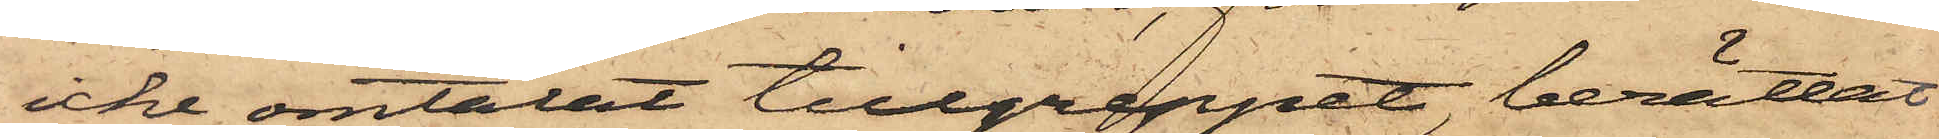icke omtalat tillgreppet, berättat
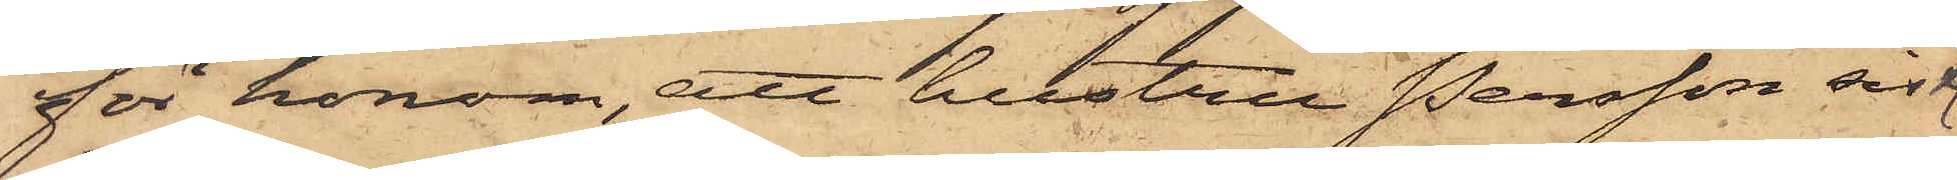för honom, att hustru Persson sistl.
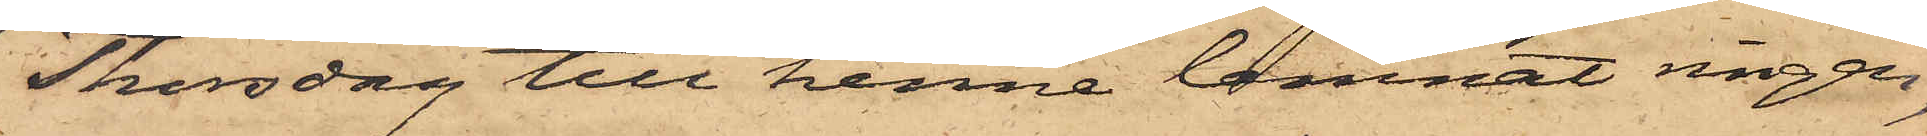Thorsdag till henne lemnat ringen,
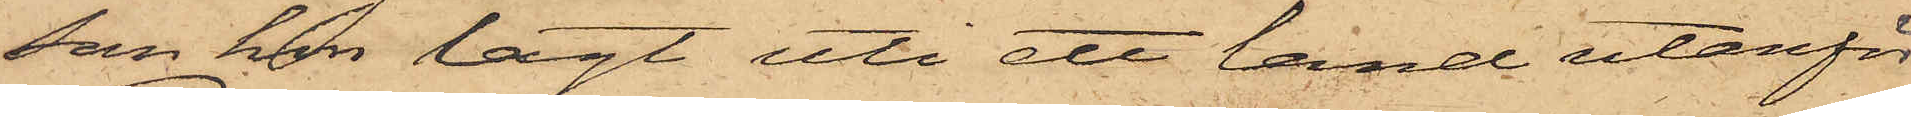som hon lagt uti ett land utanför
